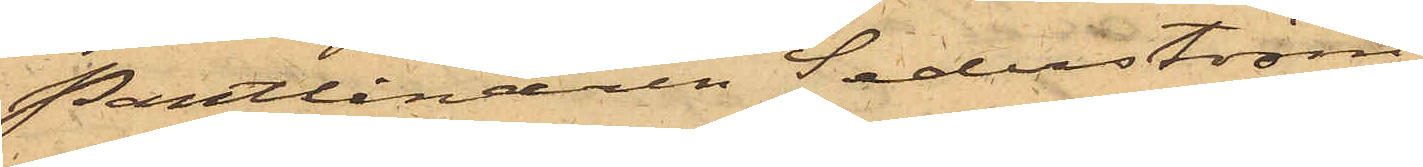Pantlånaren Sederström
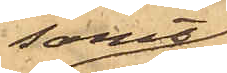samt
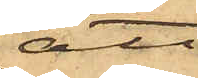att
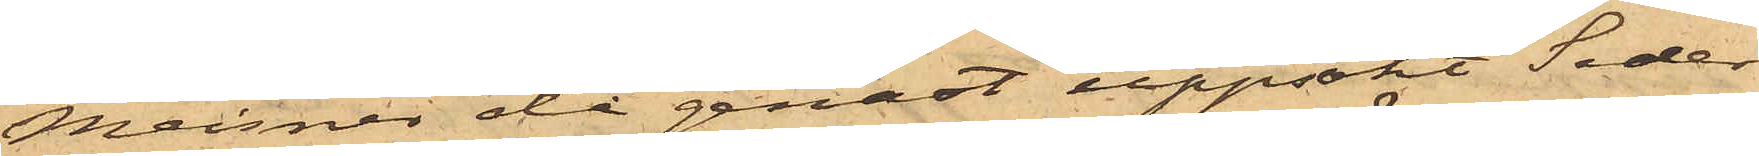Meisner då genast uppsökt Seder¬
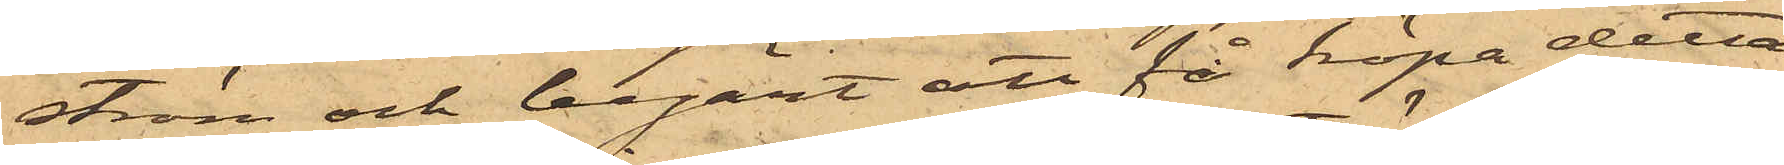ström och begärt att få köpa detta
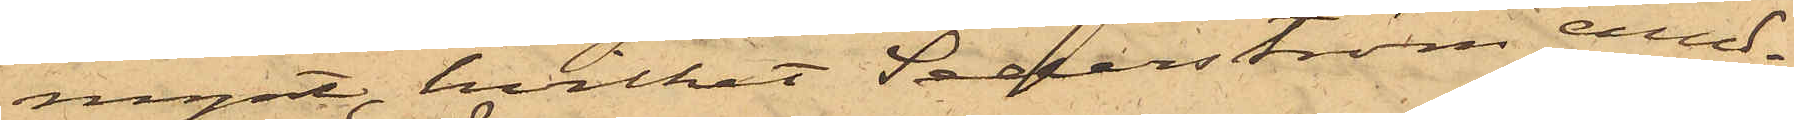mynt, hvilket Sederström emed¬
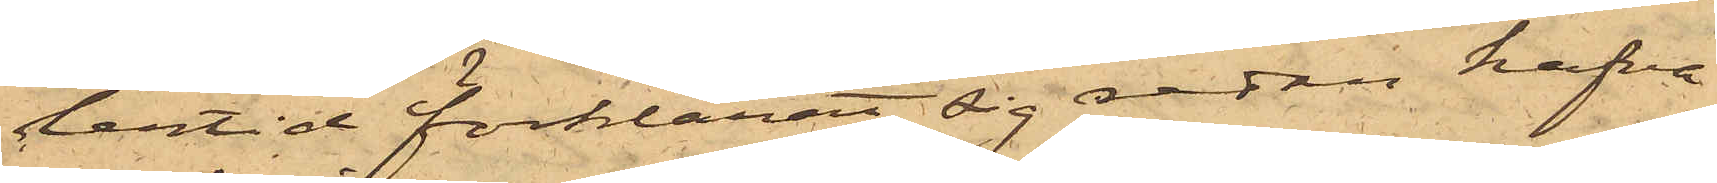lertid förklarat sig redan hafva
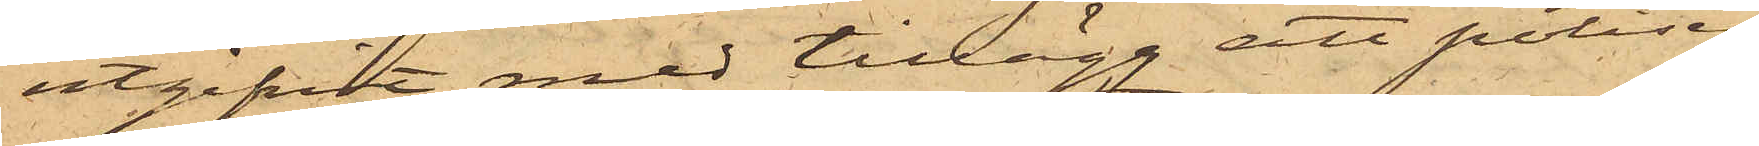utgifvit med tillägg att polisen
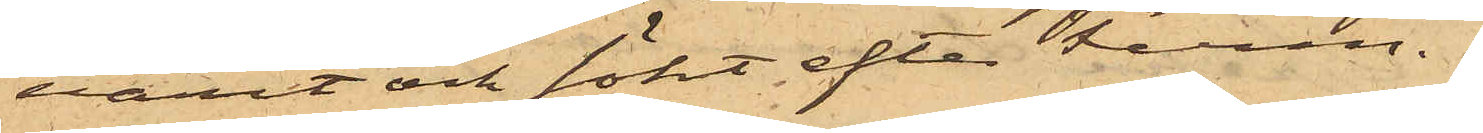varit och sökt efter Ferm.
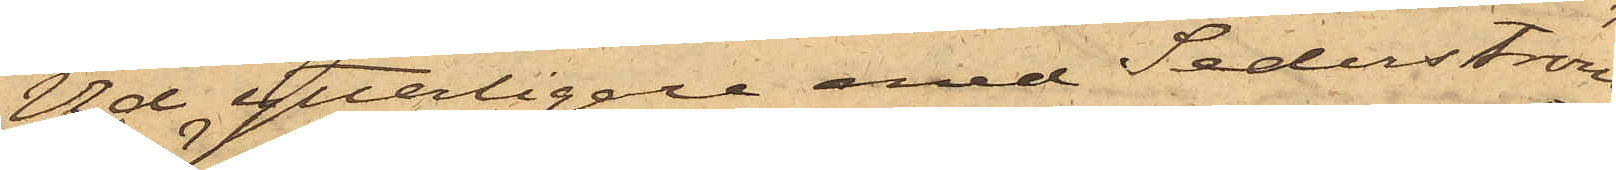Vid ytterligare med Sederström
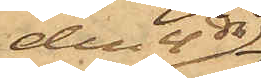den 4 ds
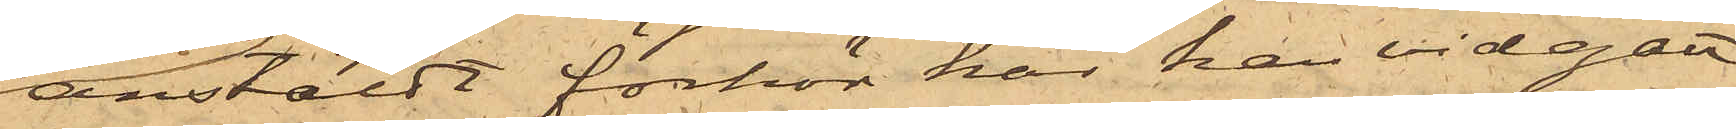anstäldt förhör har han vidgått
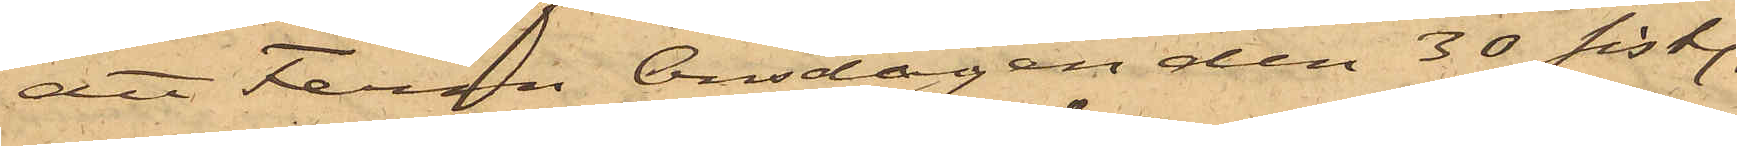att Ferm Onsdagen den 30 sistl.
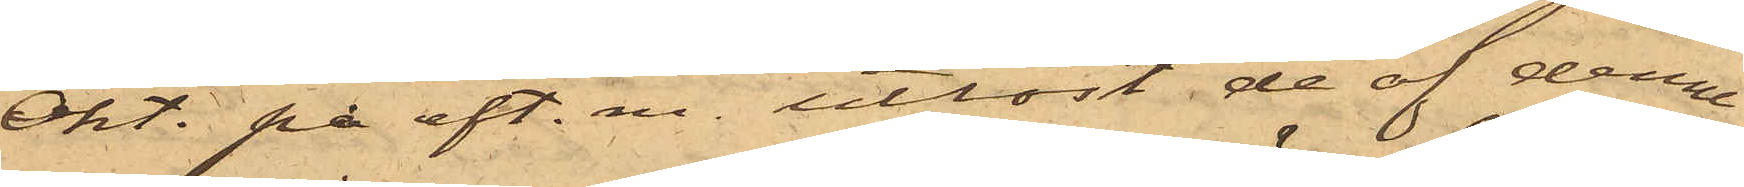Okt. på eft. m. utlöst de af denne
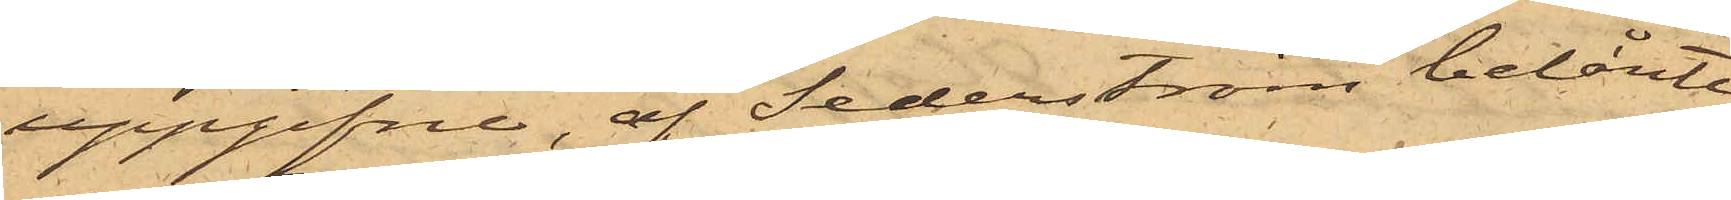uppgifna, af Sederström belånte
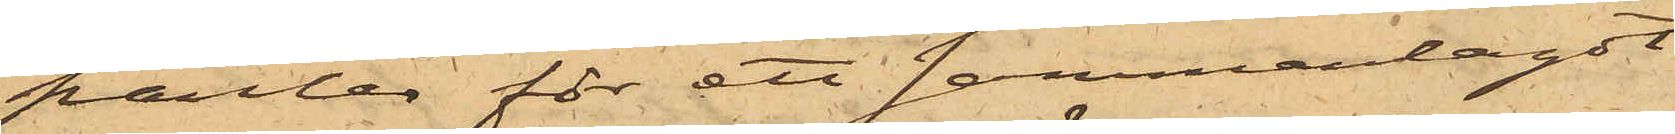panter för ett sammanlagdt
